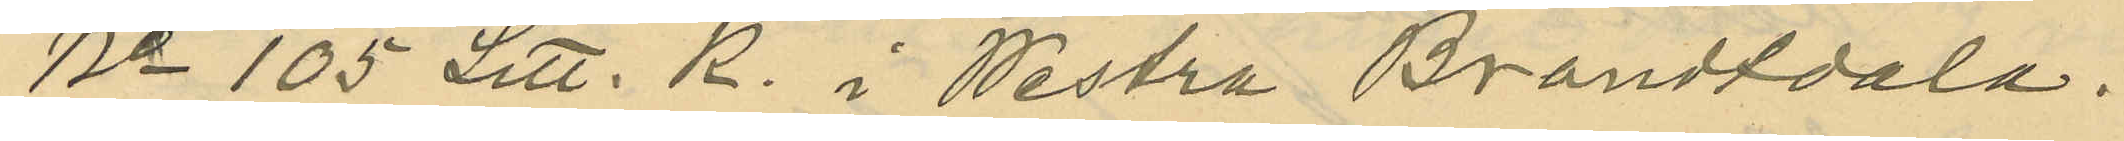No 105 Litt. R. i Westra Brandtdala.
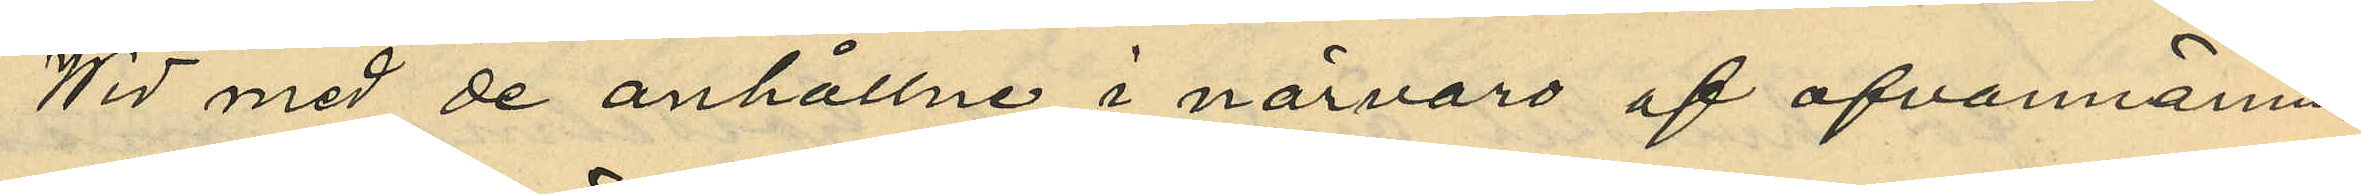Wid med de anhållne i närvaro af ofvannämn¬
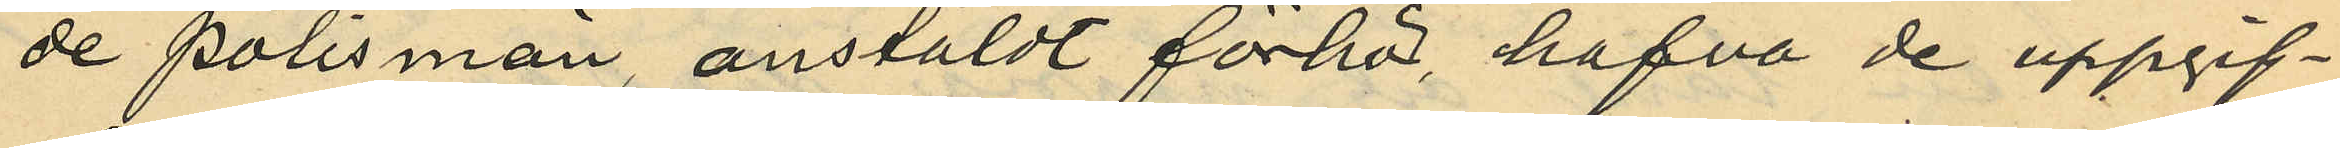de polismän, anstäldt förhör, hafva de uppgif¬
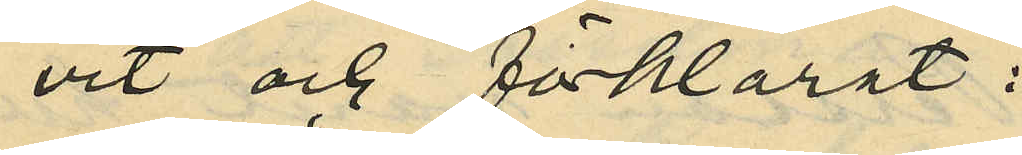vit och förklarat:
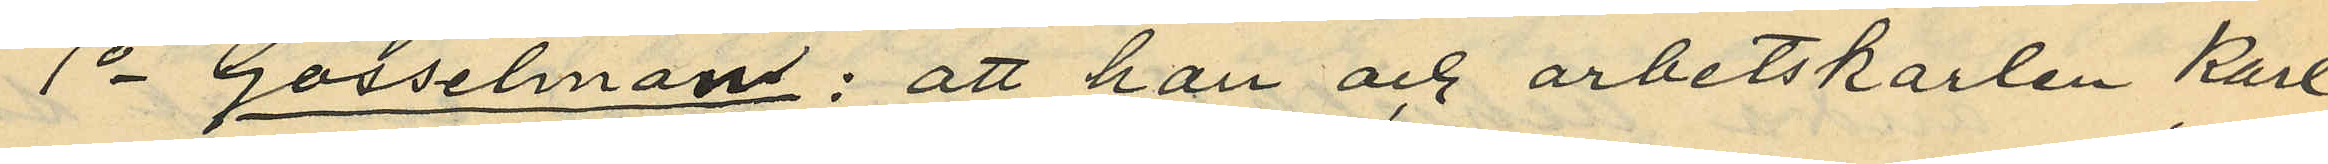1o Gosselman: att han och arbetskarlen Karl
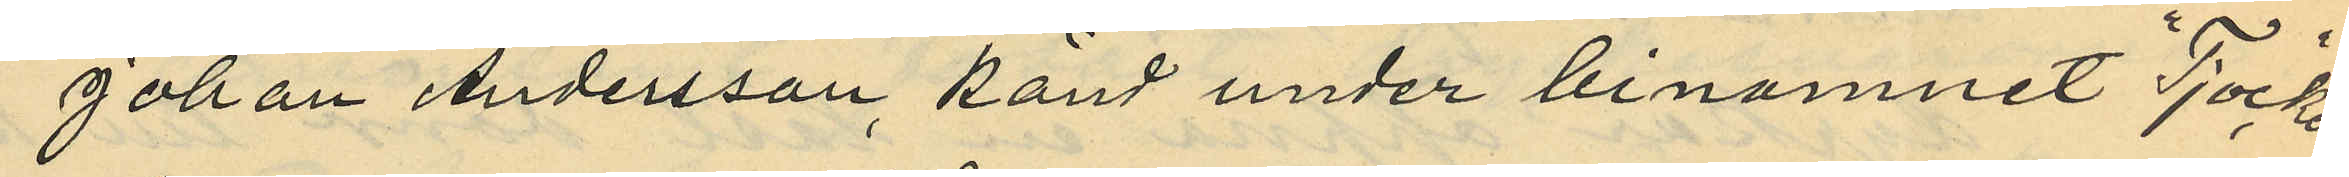Johan Andersson känd under binamnet "tjocken"
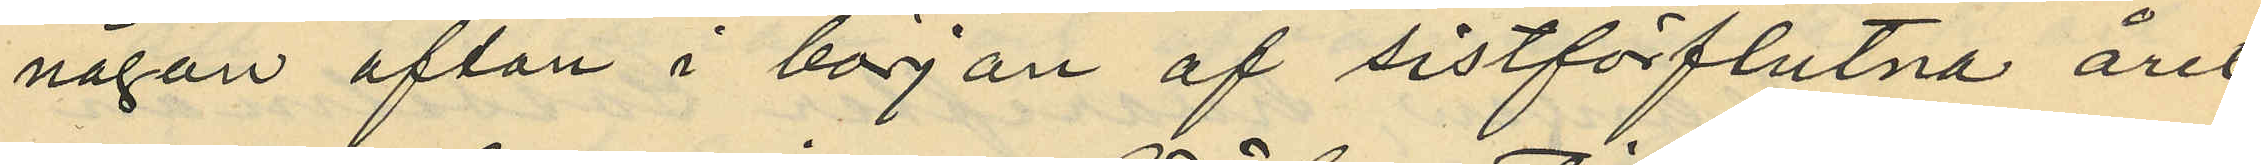någon afton i början af sistförflutna året
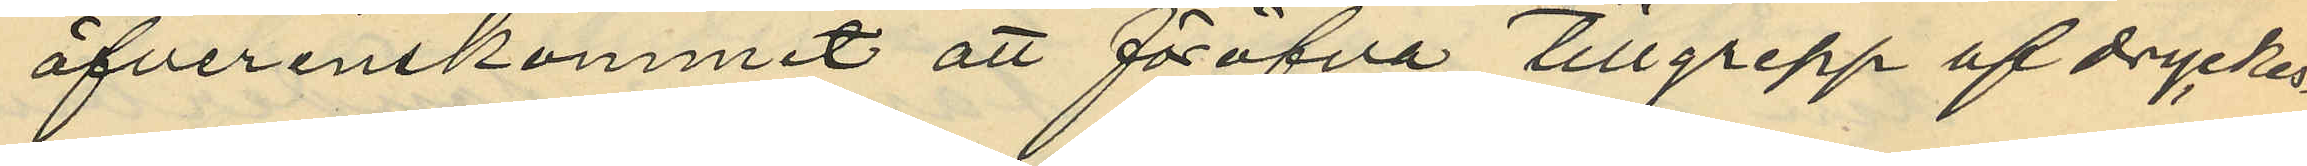öfverenskommit att föröfva tillgrepp af dryckes¬
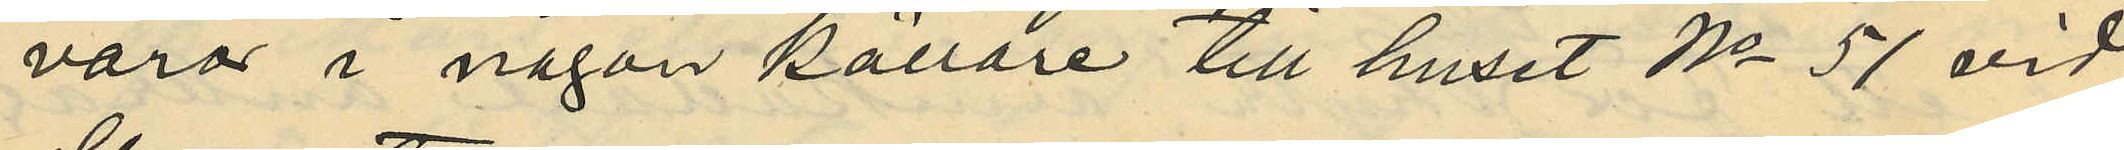varor i någon källare till huset No 51 vid
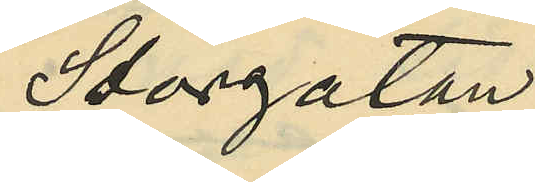Storgatan.
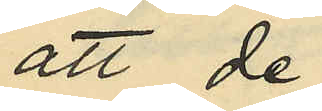att de
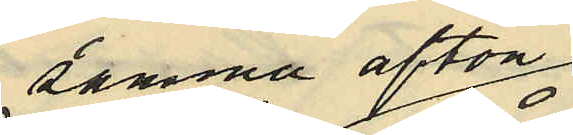samma afton
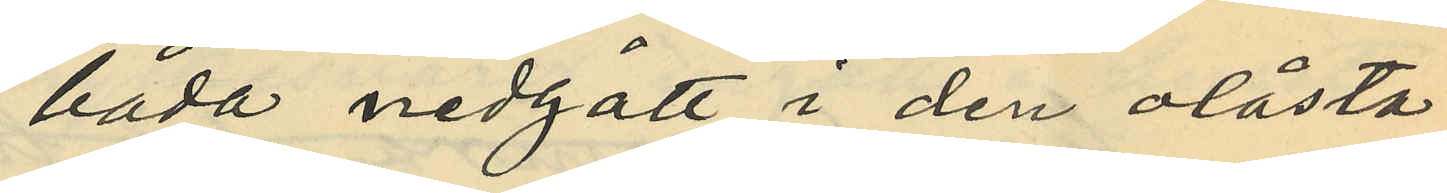båda nedgått i den olåsta
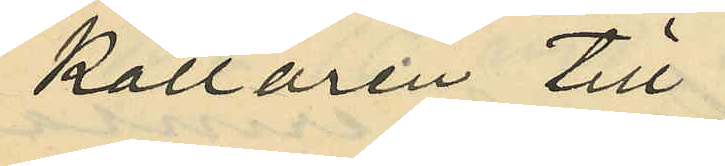källaren till
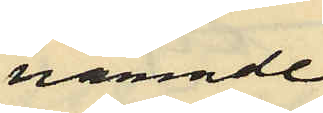nämnde
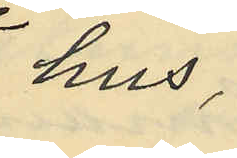hus,
